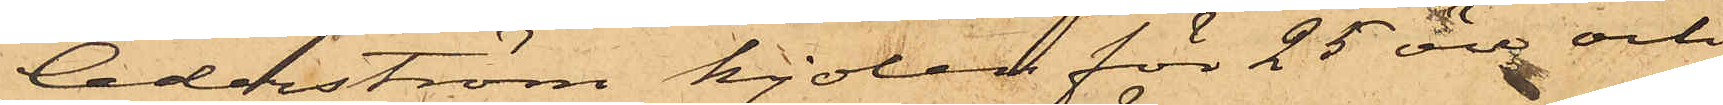Cederström kjolen för 25 öre och
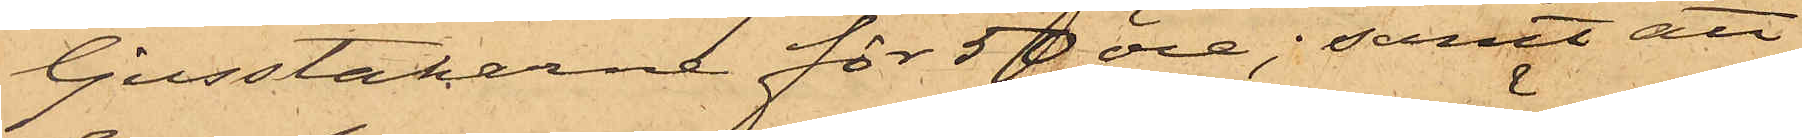ljusstakarna för 50 öre; samt att
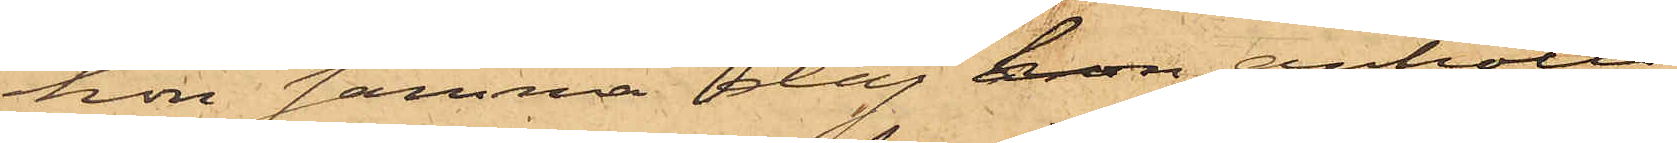hon samma dag hon anhölls
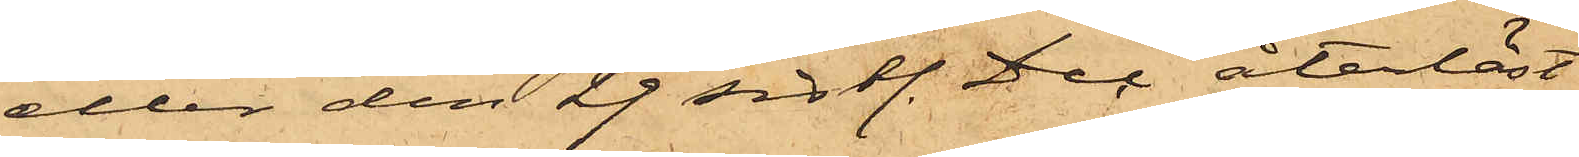eller den 29 sistl. Dec återlöst
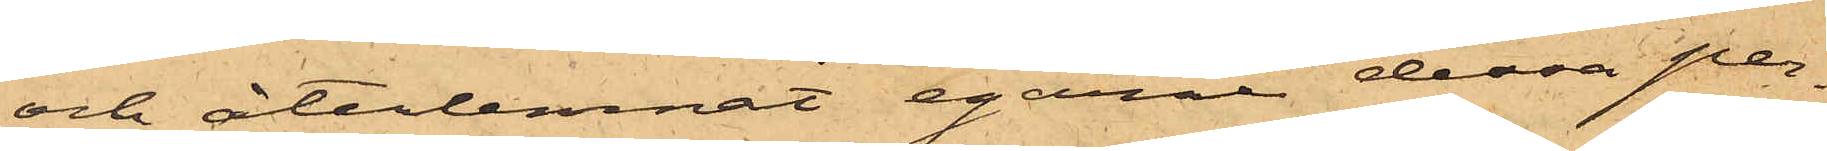och återlemnat egarne dessa per¬
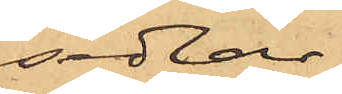sedlar.
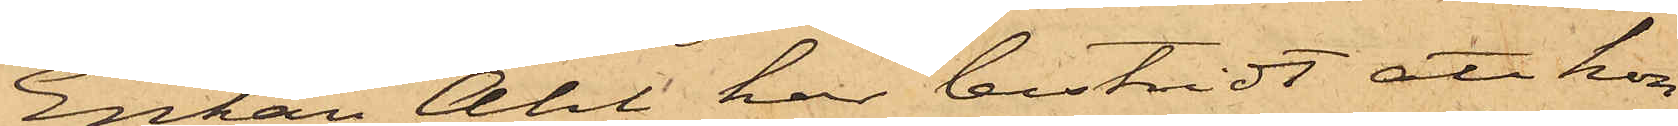Enkan Ahl har bestridt att hon
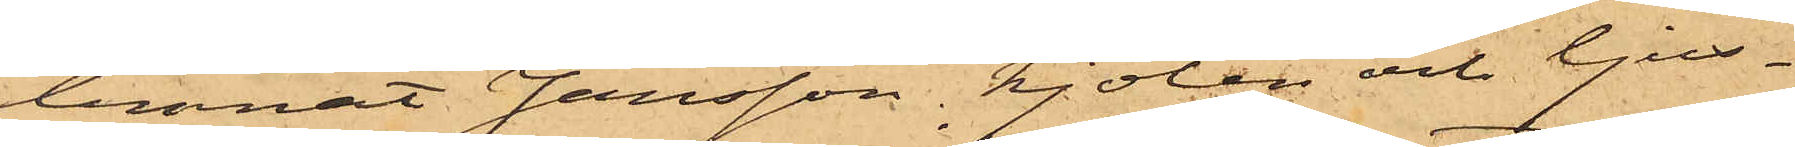lemnat Jansson kjolen och ljus¬
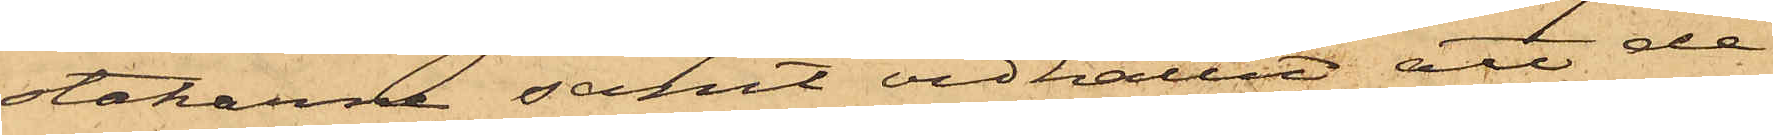stakarne samt vidhållit att de¬
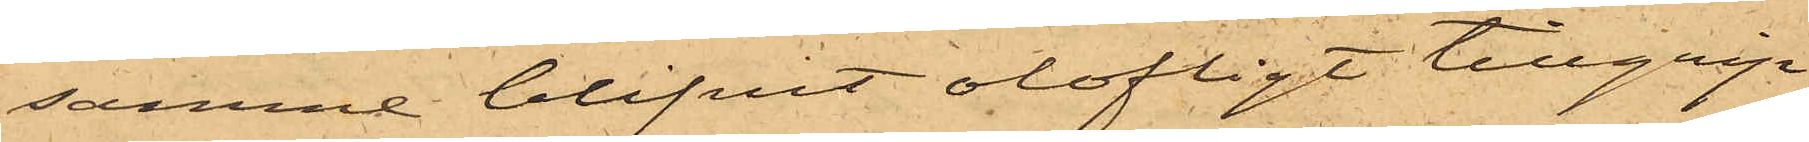samma blifvit olofligt tillgrip¬
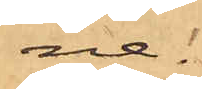ne.
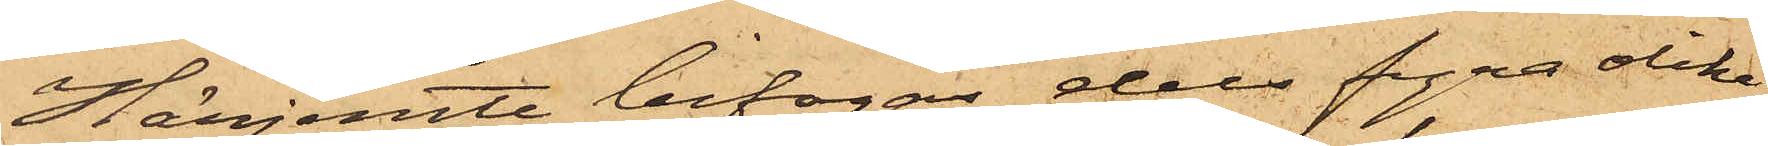Härjemte bifogas dels fyra olika
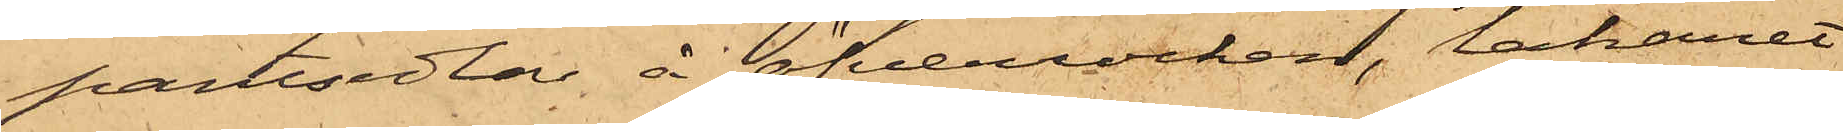pantsedlar å öfverrocken, lakanet
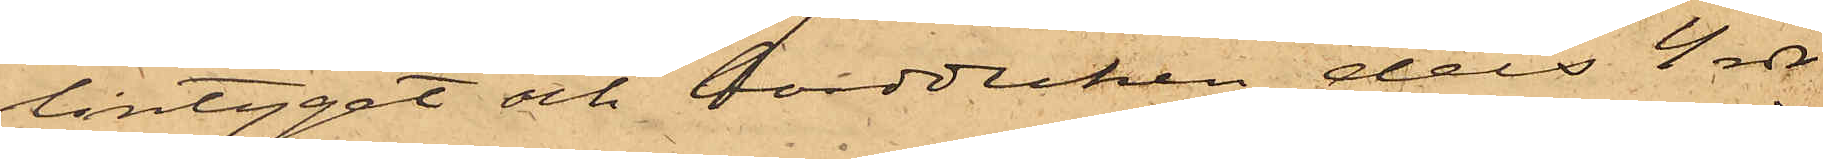lintyget och bordduken dels 4 rdr
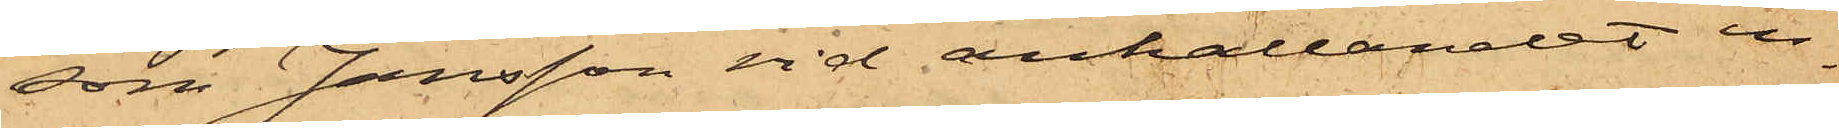som Jansson vid anhållandet in¬
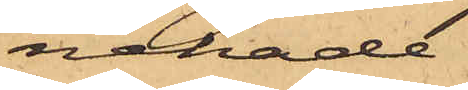nehade.
